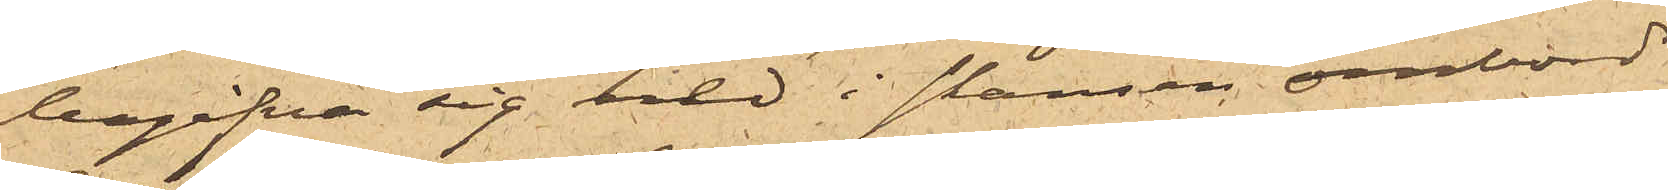begifva sig ned i skansen ombord
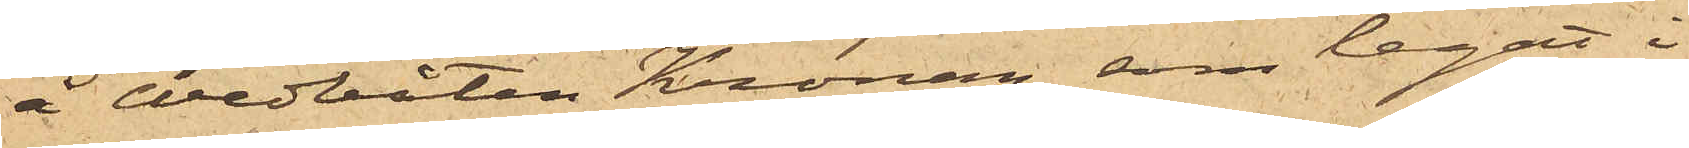å Wedbåten Kronan, som legat i
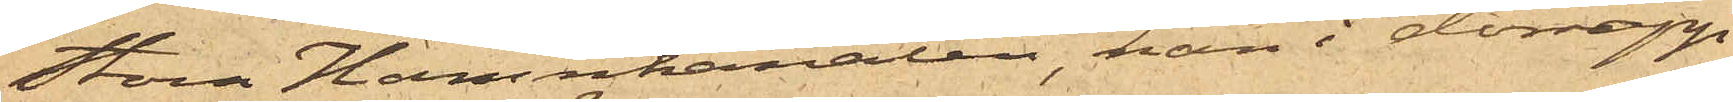Stora Hamnkanalen, han i dörrupp¬
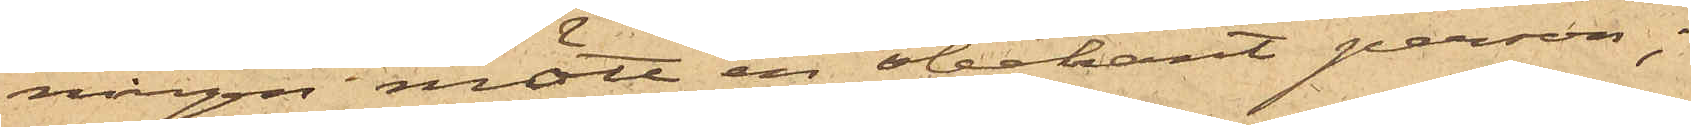ningen mött en obekant person;
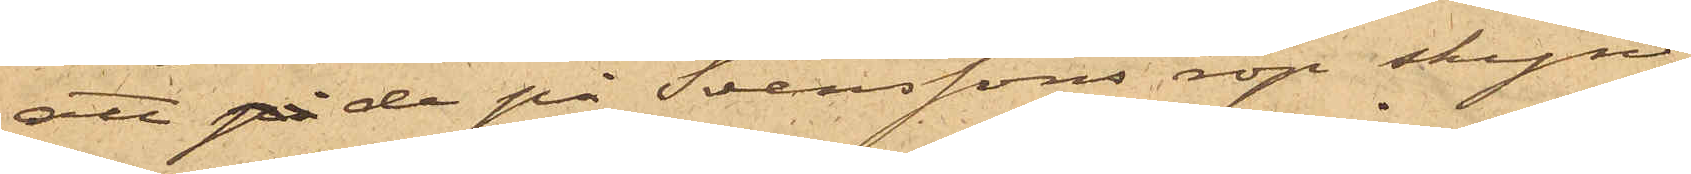att de på Svenssons rop skyn¬
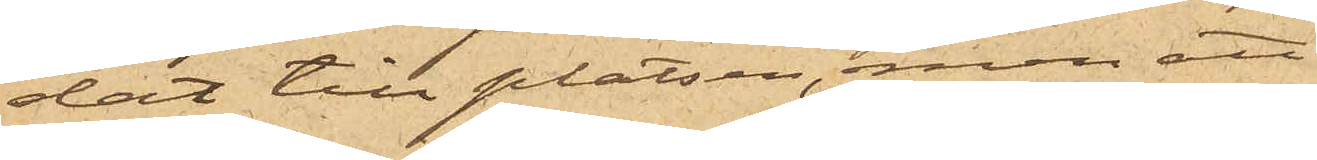dat till platsen, men att innan
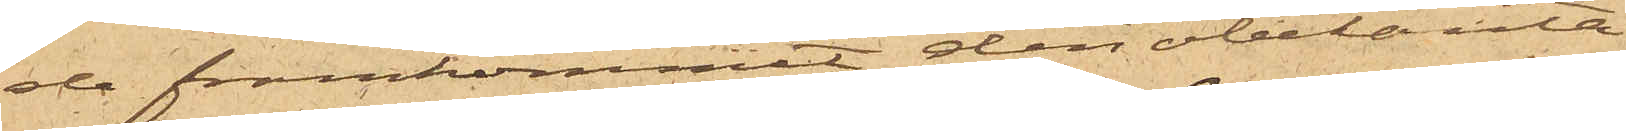de framkommit den obekanta
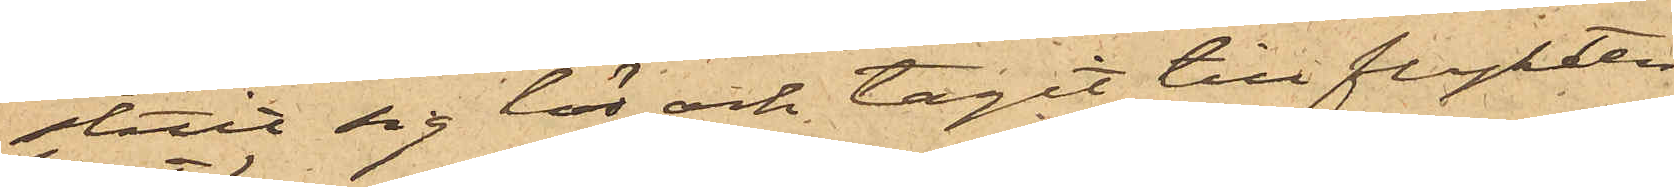slitit sig lös och tagit till flykten;
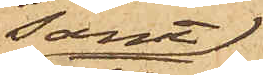samt
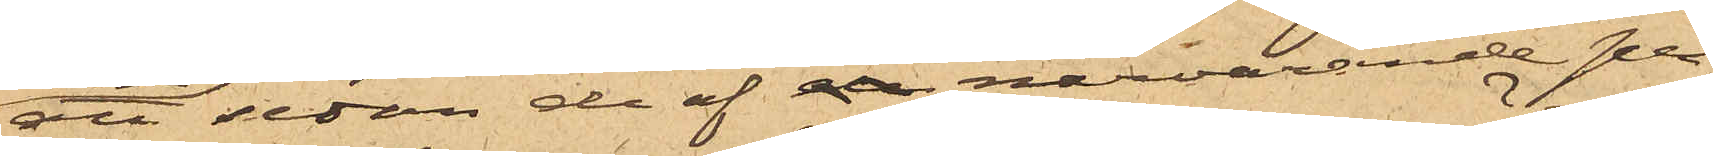att sedan de af de närvarande per¬
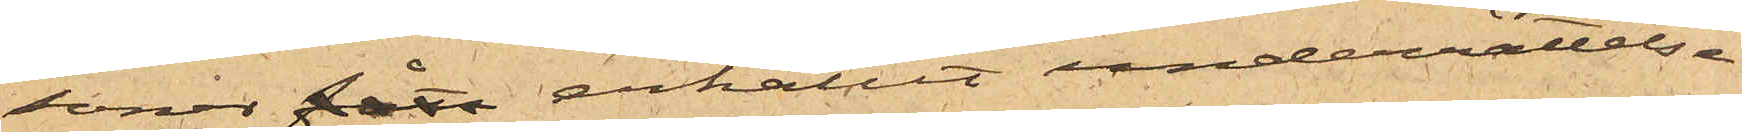soner fått erhållit underrättelse
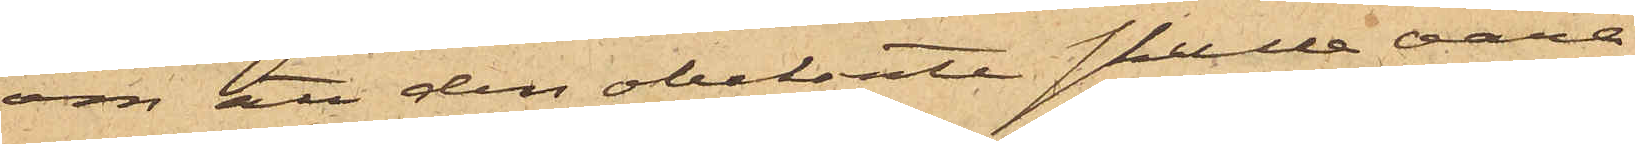om att den obekante skulle vara
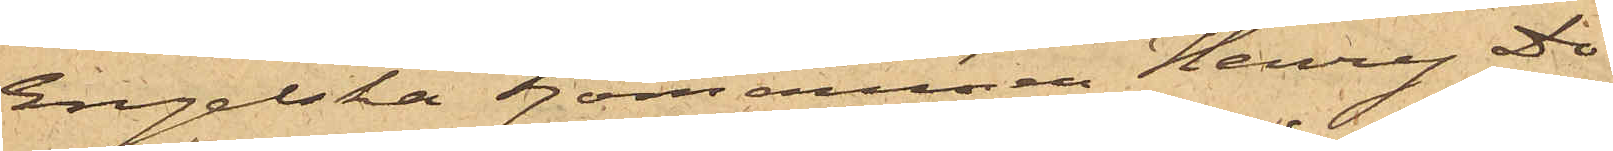engelska sjömannen Henry Do¬
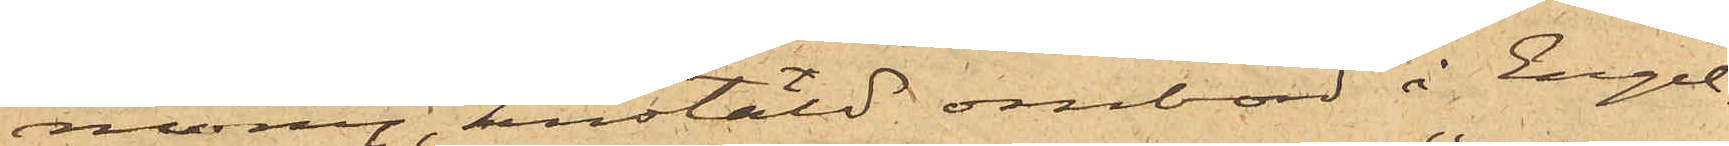mony, anstäld ombord i Engel¬
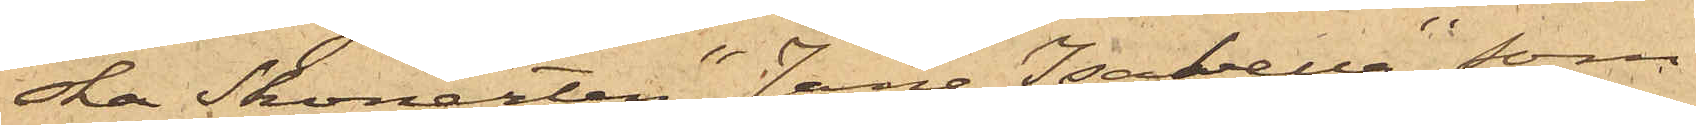ska Skonerten "Jane Isabella", som
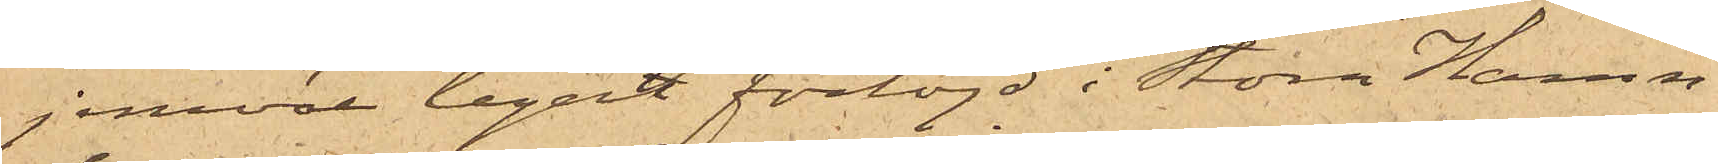jemväl legat förtöjd i Stora Hamn¬
